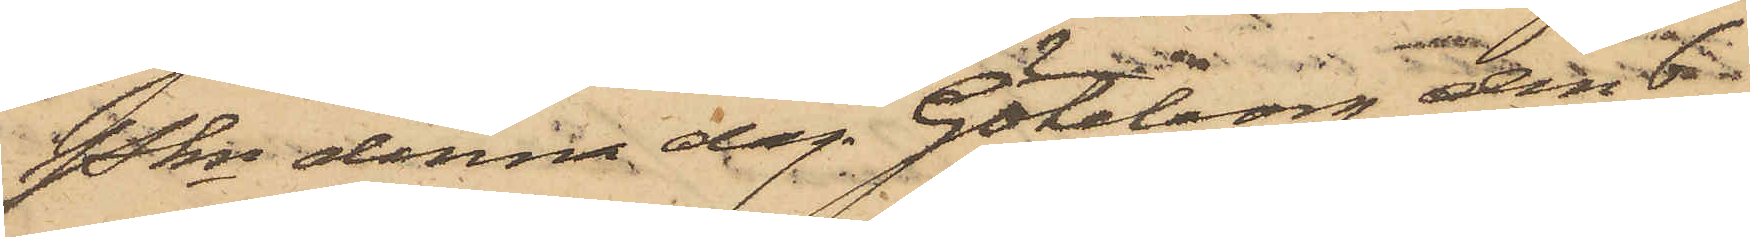Pkn denna dag. Göteborg den 6
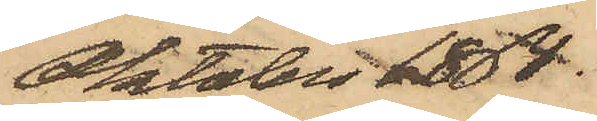Oktober 1868.
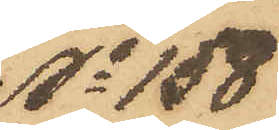No 158
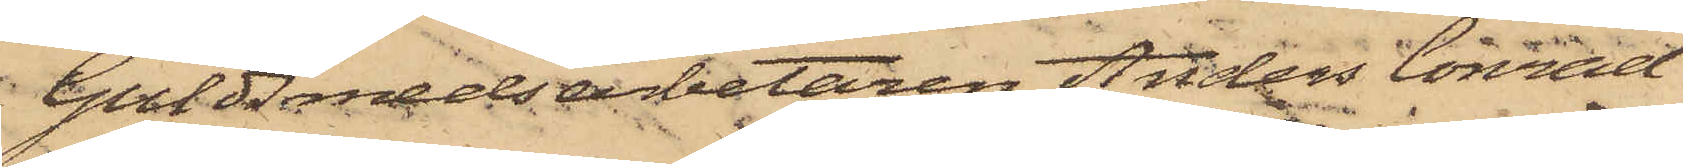Guldsmedsarbetaren Anders Conrad
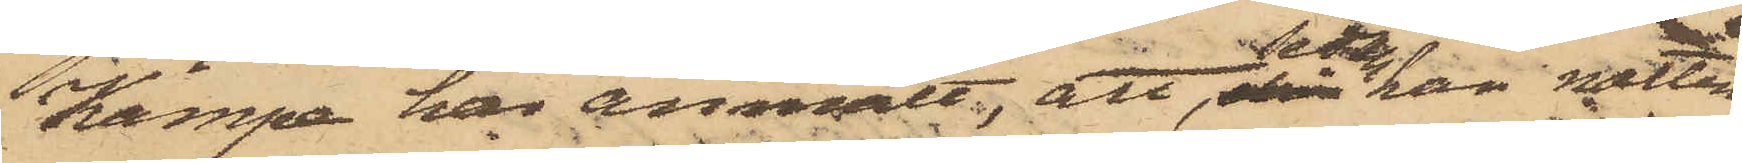Kämpe har anmält, att, sedan han natten
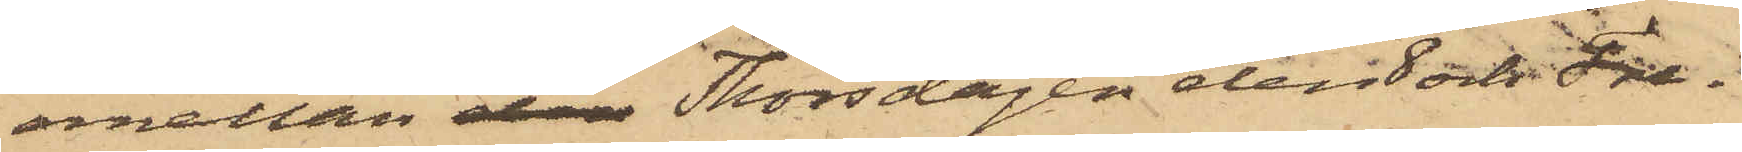emellan den Thorsdagen den och Fre¬
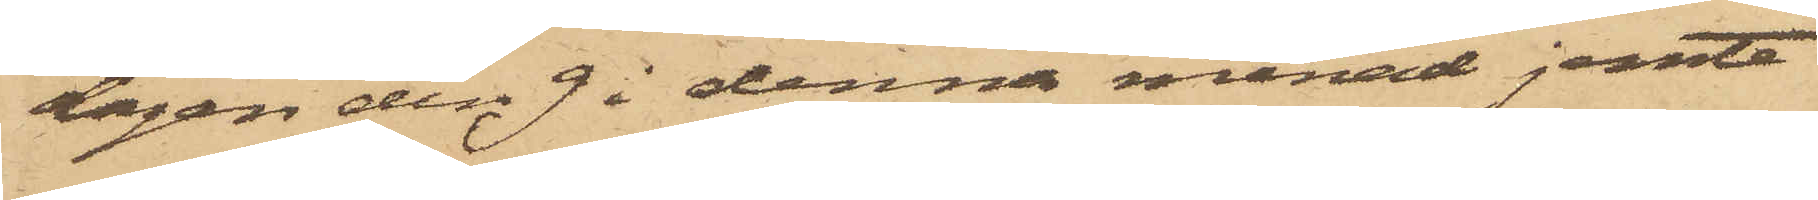dagen den 9 i denna månad jemte
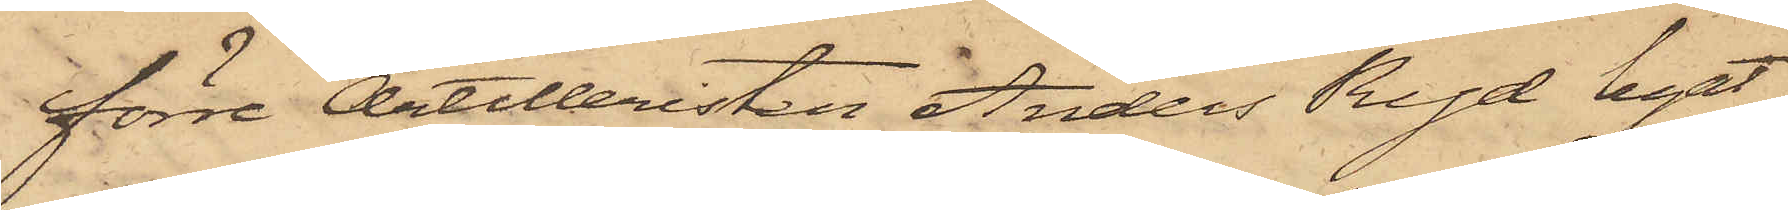förre Artilleristen Anders Ryd legat
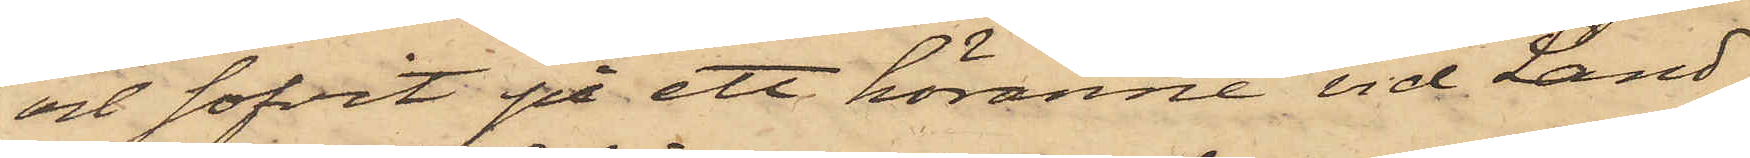och sofvit på ett höränne vid Land¬
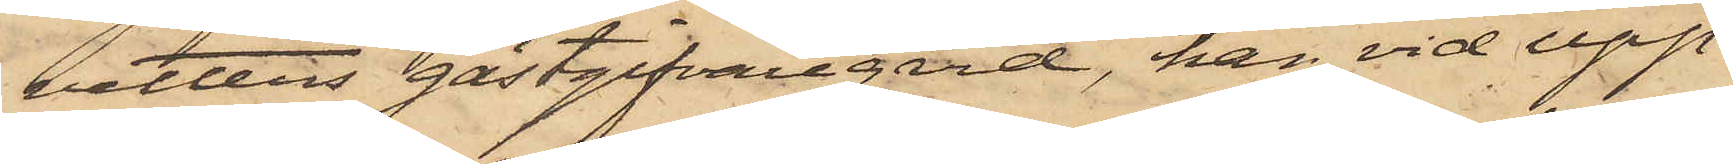vetters gästgifvaregård, han vid upp¬
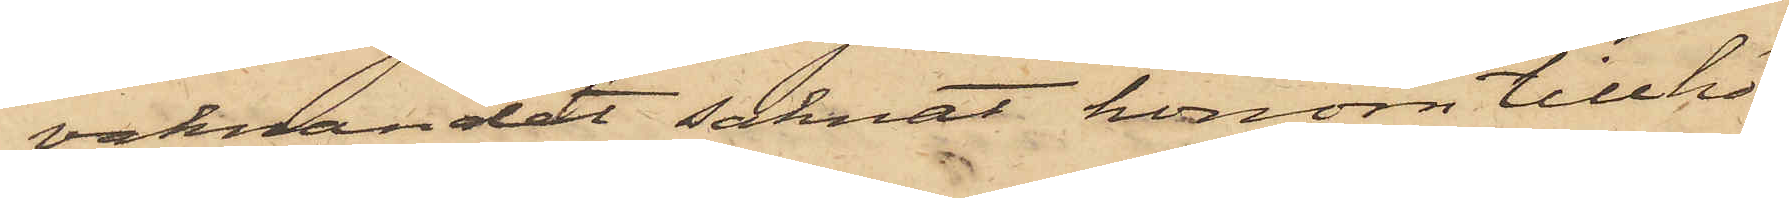vaknandet saknat honom tillhö¬
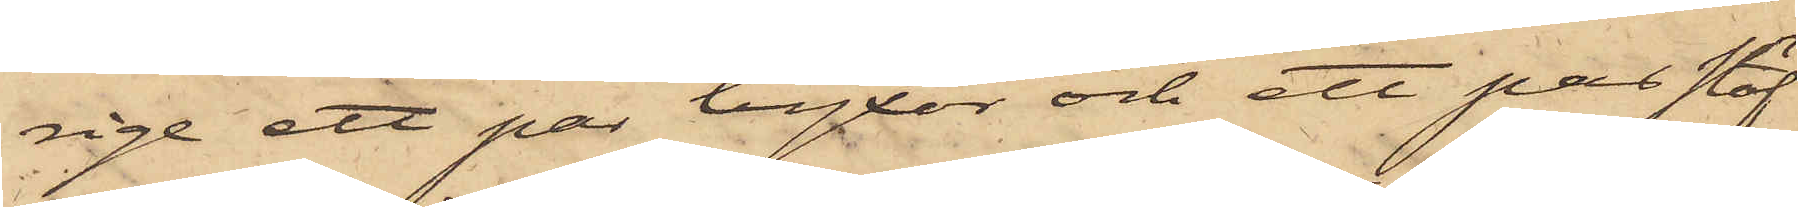rige ett par byxor och ett par stöf¬
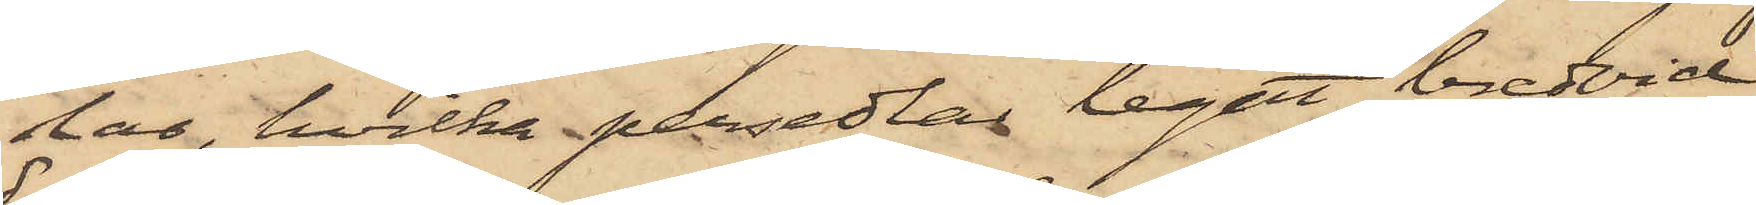lar, hvilka persedlar legat bredvid
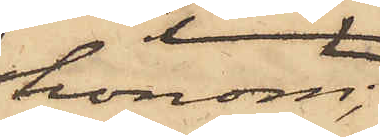honom,
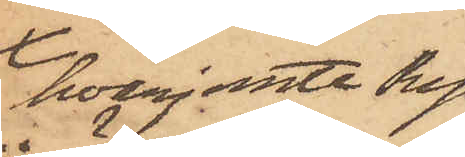hvarjemte Ryd
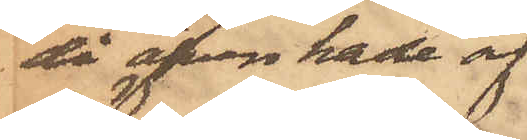då äfven hade af¬
